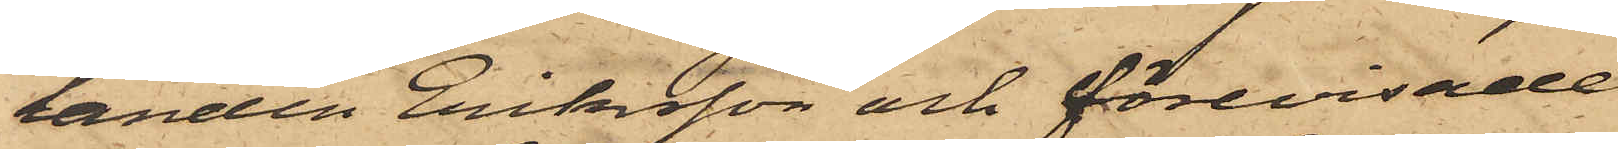landen Eriksson och förevisade
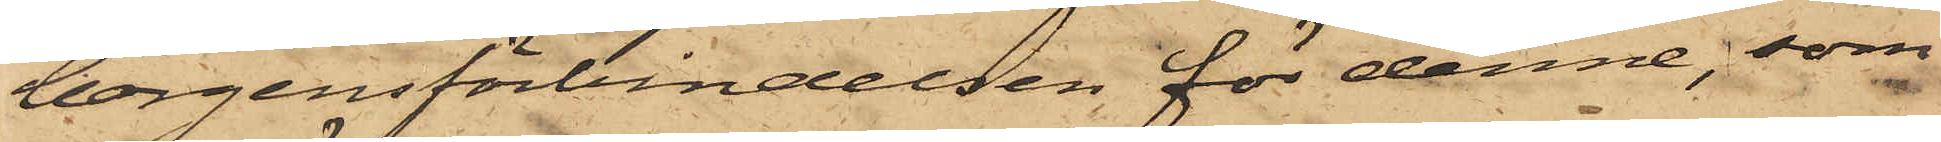borgensförbindelsen för denne, som
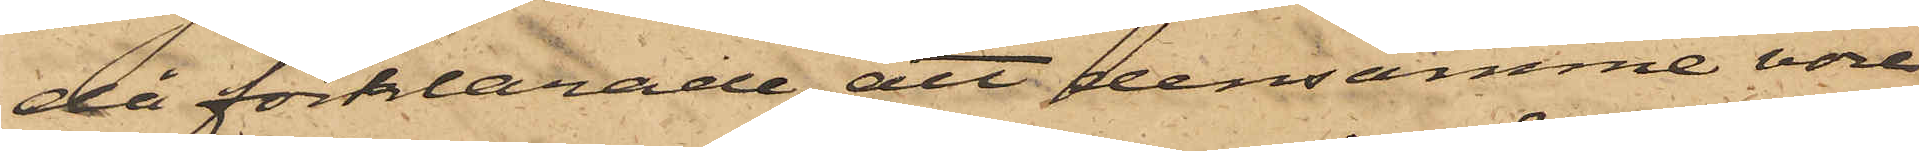då förklarade att densamme vore
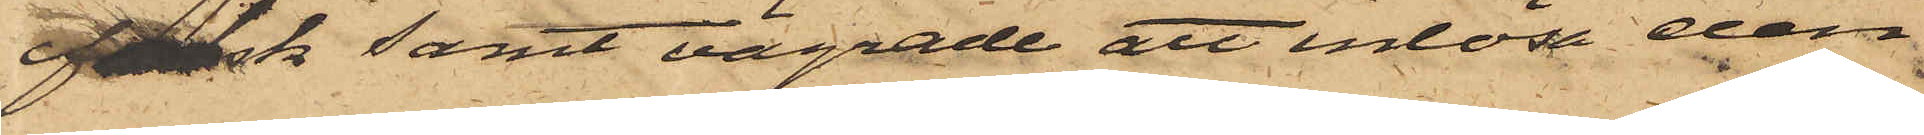falsk samt vägrade att inlösa den
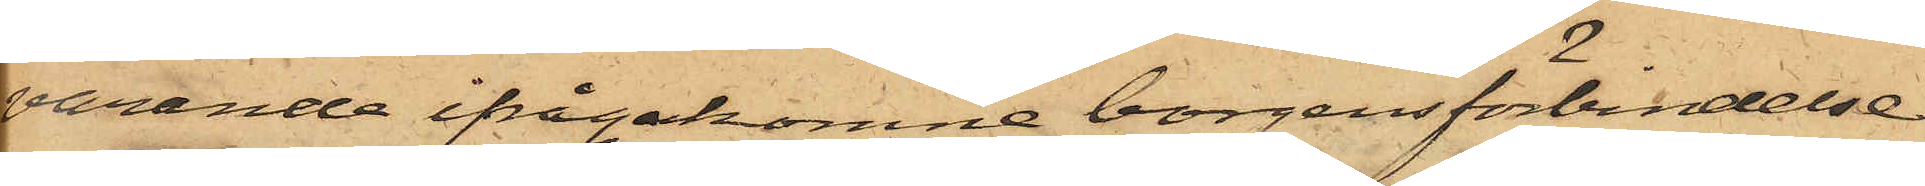varande ifrågakomne borgensförsändelse
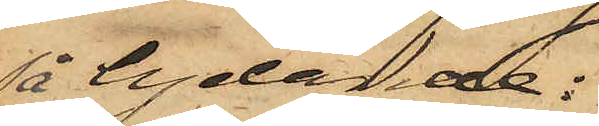så tydande:
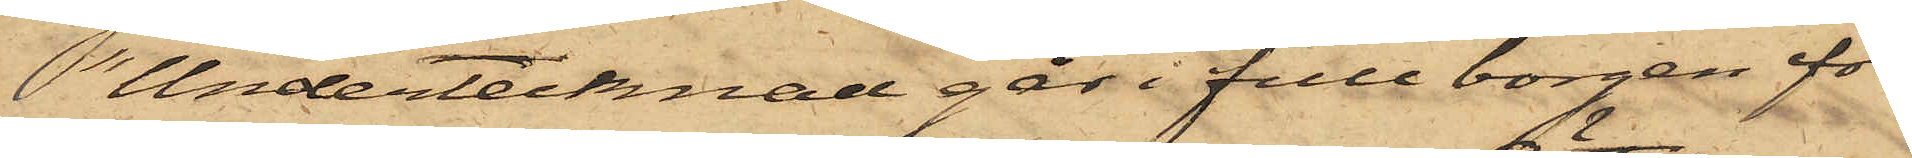"Undertecknad går i full borgen för
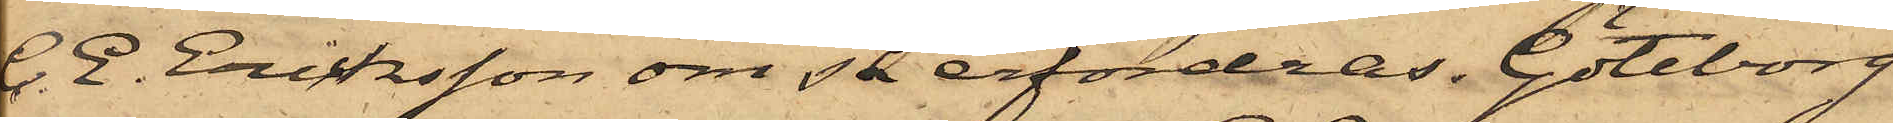C. E. Eriksson om så erfordras. Göteborg
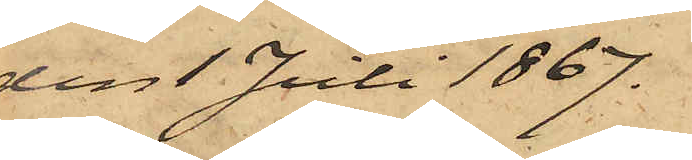den 1 Juli 1867.
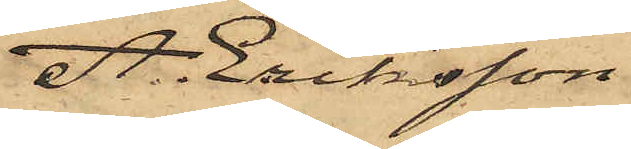A. Eriksson
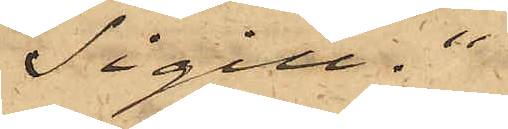Sigill."
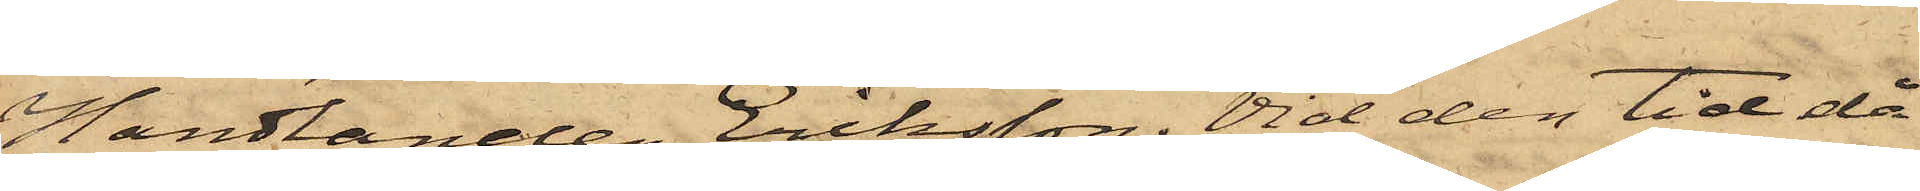Handlanden Eriksson. Vid den tid då
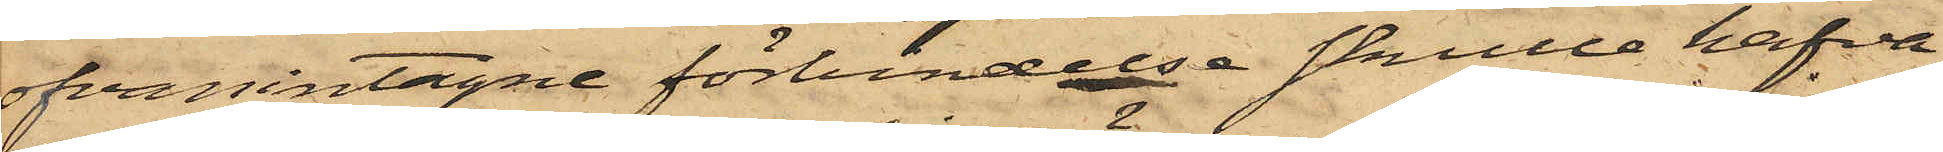ofvanintagne förbindelse skulle hafva
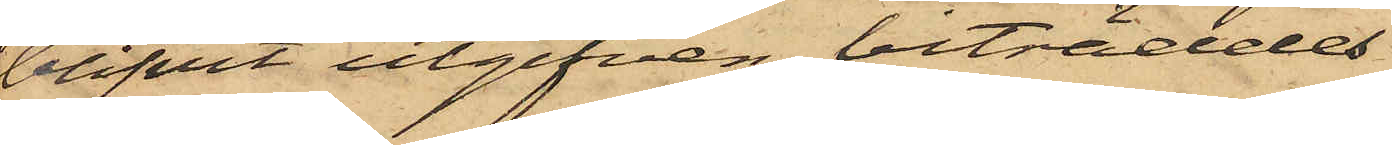blifvit utgifven, biträddes
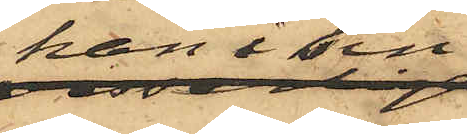han i sin
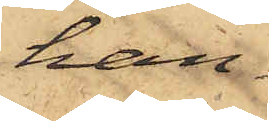han¬
